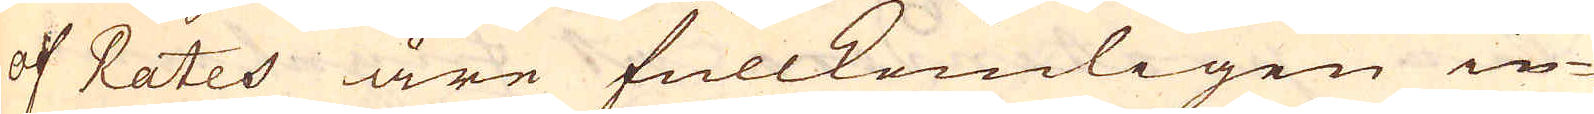af Rates äre fullkomligen in-
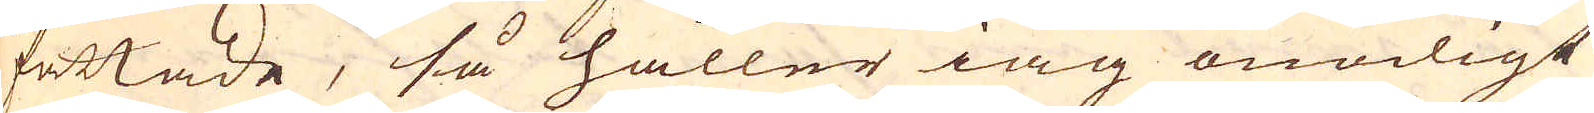fattade, så håller iag onödigt
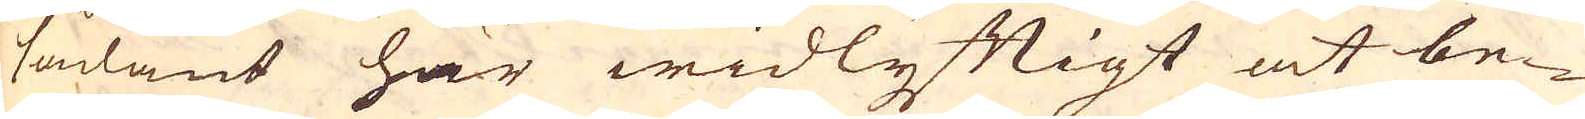sådant här widlyftigt at be-
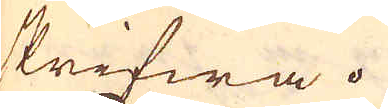skrifwa.
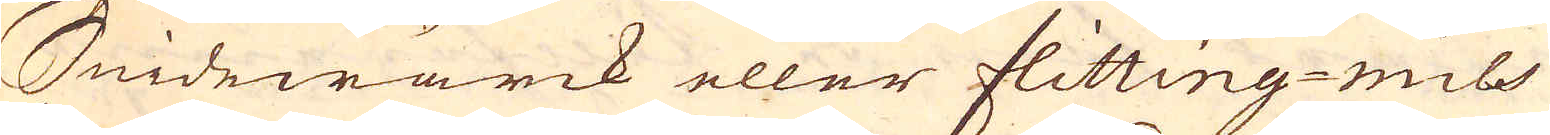Smidewärck eller Flitting-mils
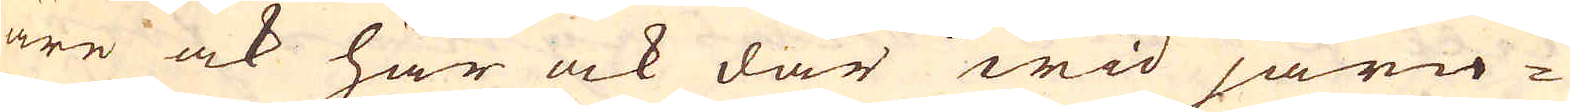äre ock här ock där wid järn-
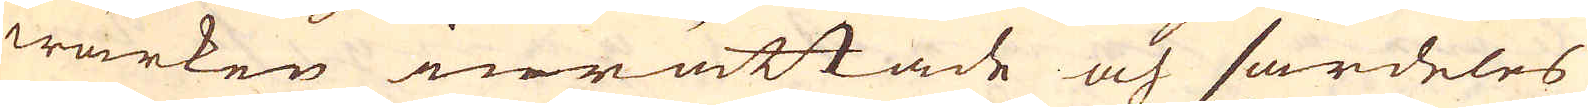wärken inrättade och särdeles
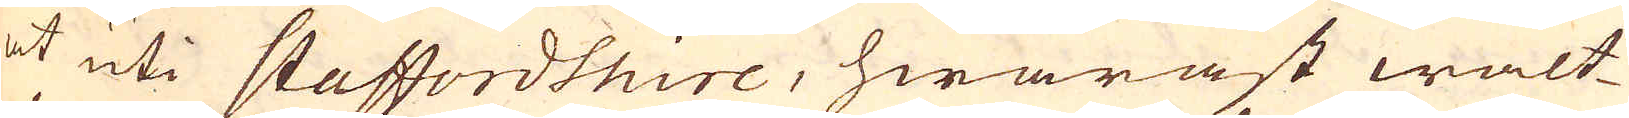at uti Staffordshire, hwaräst walt-
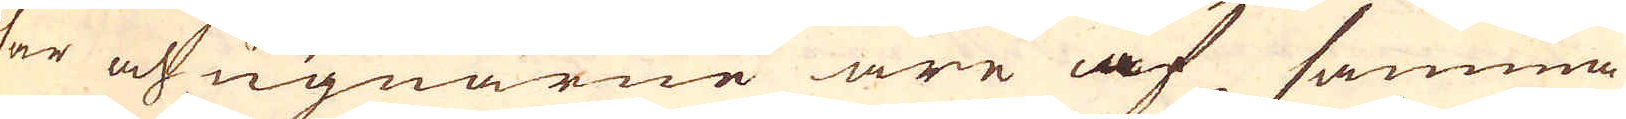sar och ugnarne äre af samma
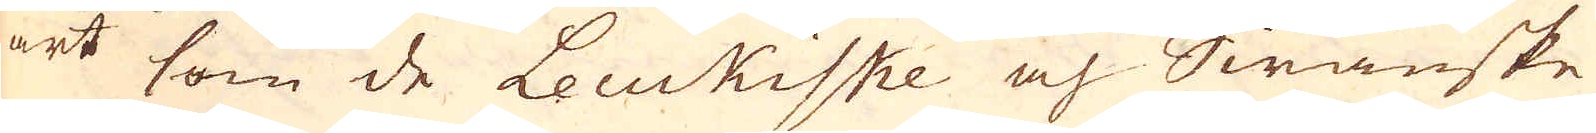art som de Leukiske och Swänske
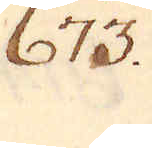673.
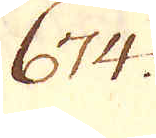674.
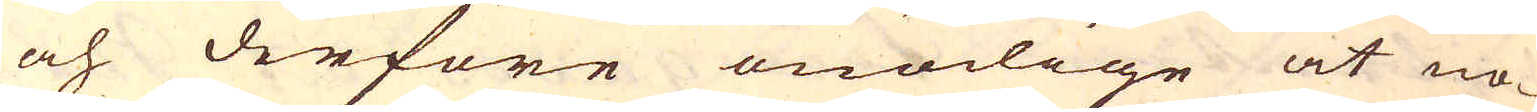och derföre onödige at no-
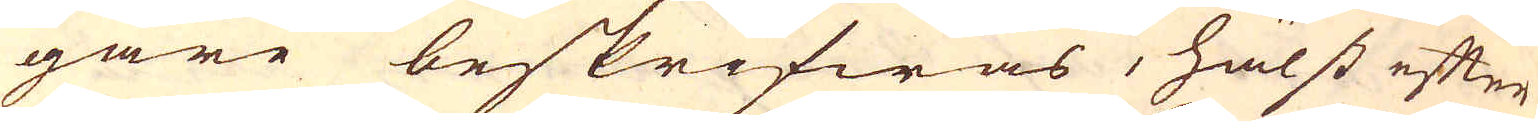gare beskrifwas, hälst efter
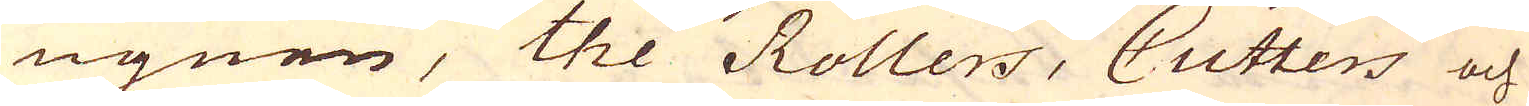ugnen, the Rollers, Cutters och
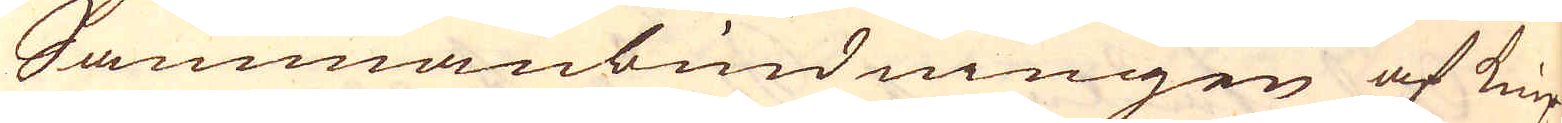Sammanbindningen af knip-
